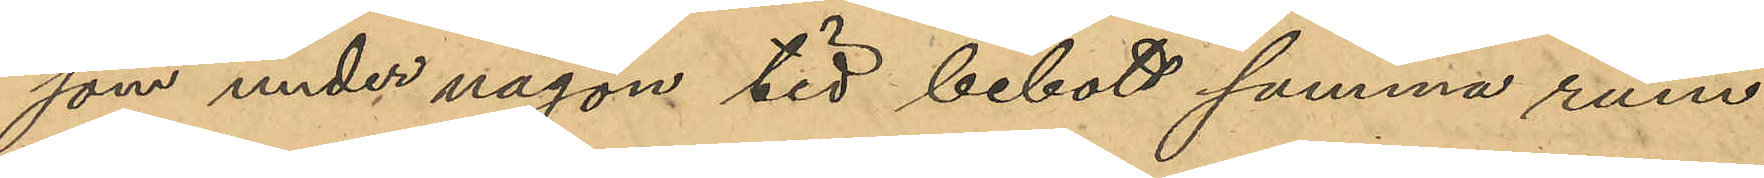som under någon tid bebott samma rum
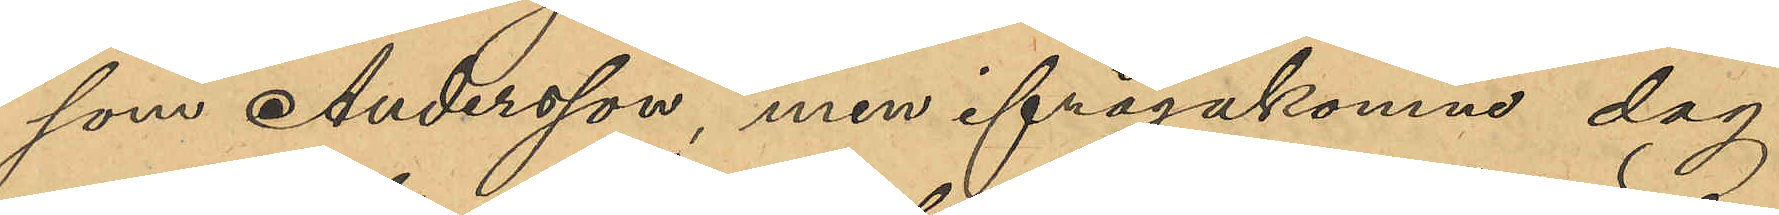som Andersson, men ifrågakomne dag
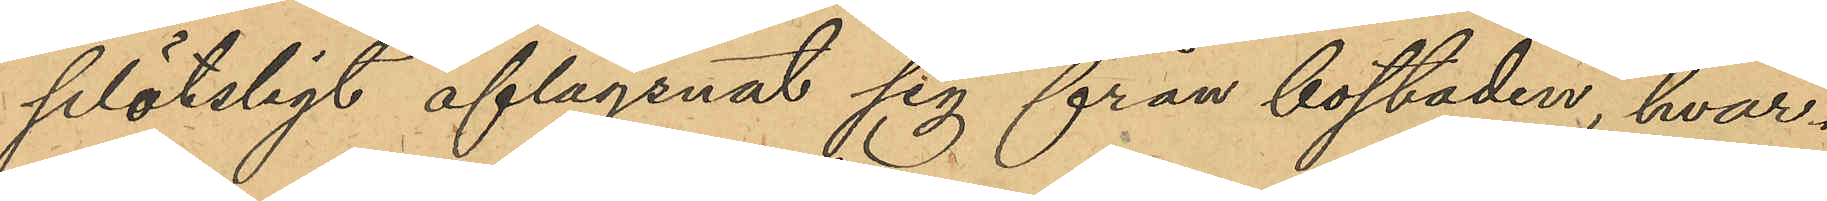plötsligt aflägsnat sig från bostaden, hvar¬
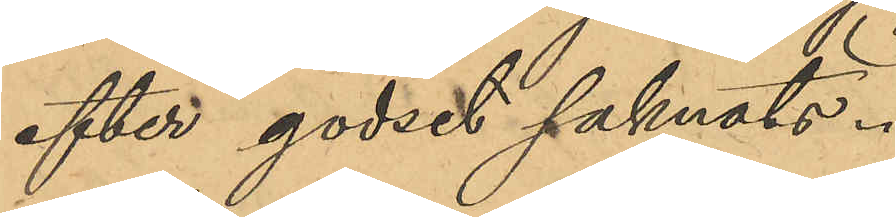efter godset saknats.
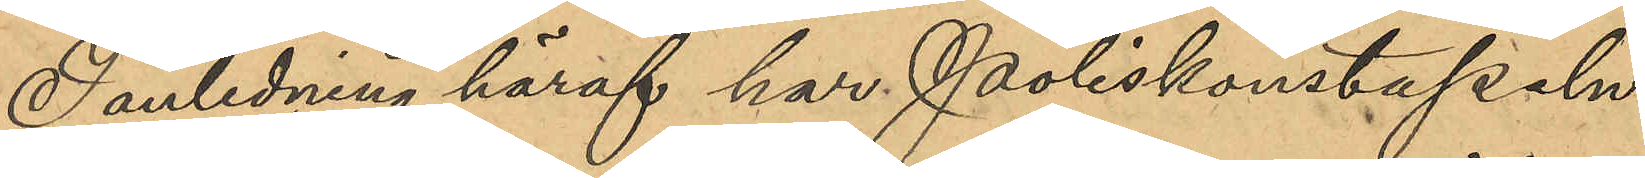i anledning härav har Poliskonstapeln
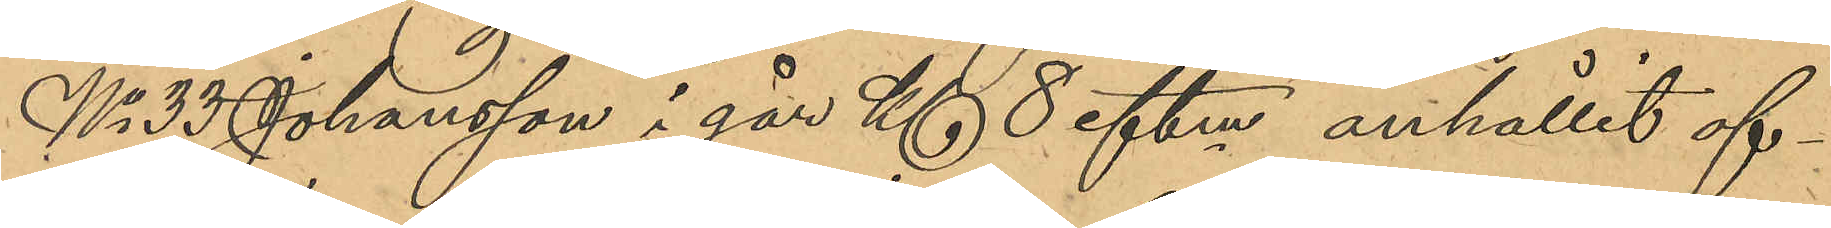No 33 Johansson i går Kl 8 eftm. anhållit of¬
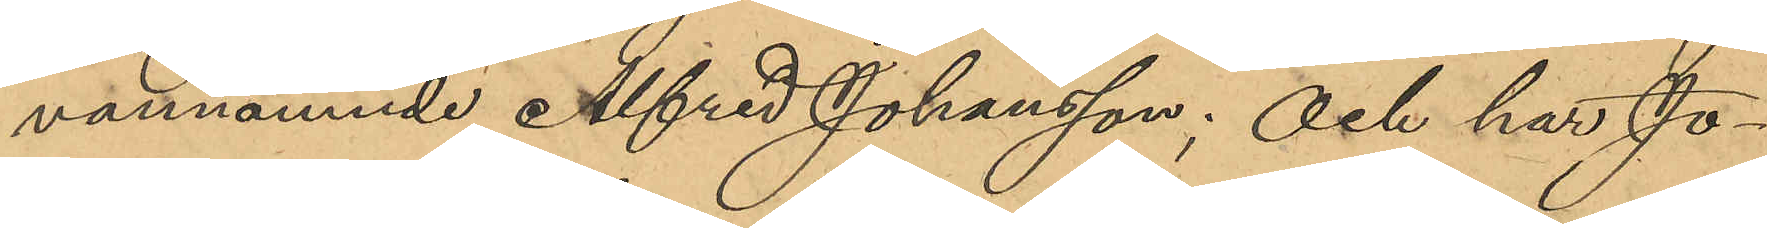vannämnde Alfred Johansson; Och har Jo¬
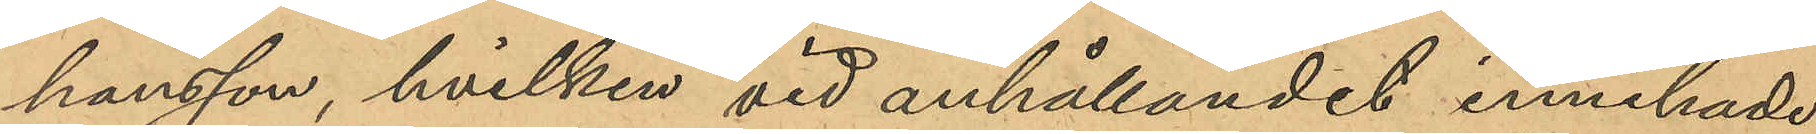hansson, hvilken vid anhållandet innehade,
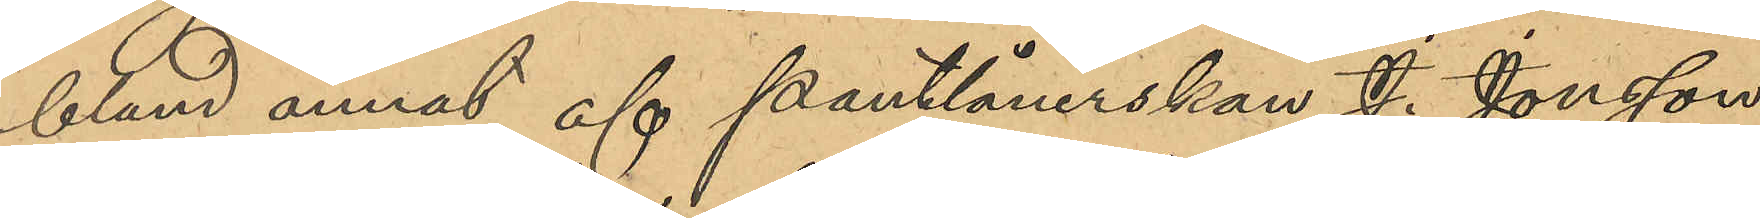bland annat, af pantlånerskan J. Jonsson,
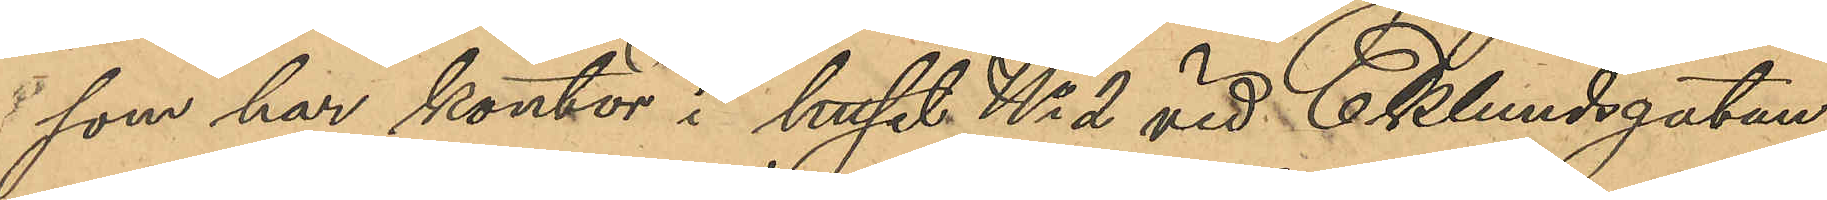som har kontor i huset No 2 vid Eklundsgatan
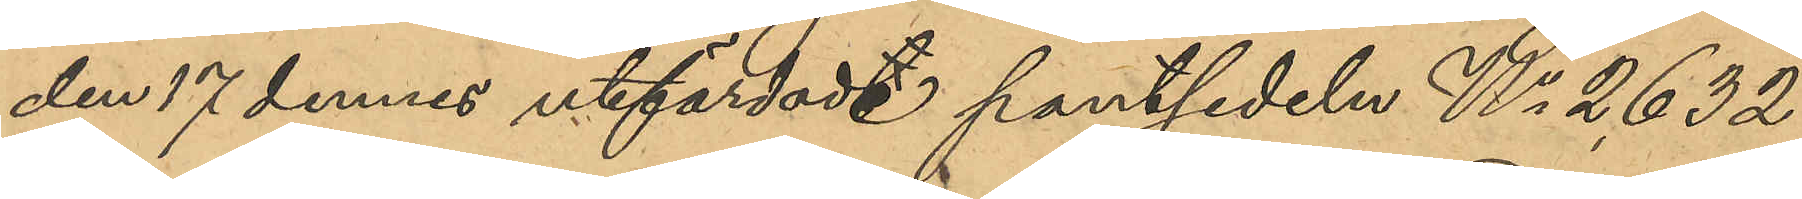den 17 dennes utfärdade pantsedeln No 2632
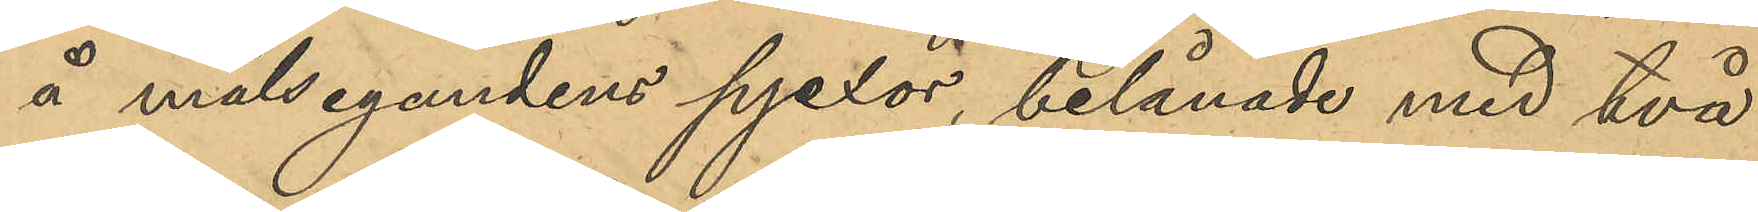å målsegandens pjexor belånade med två
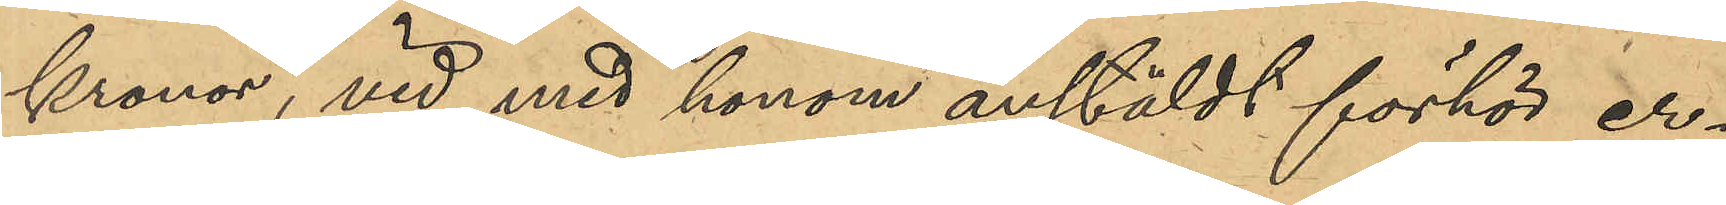kronor, vid med honom anstäldt förhör er¬
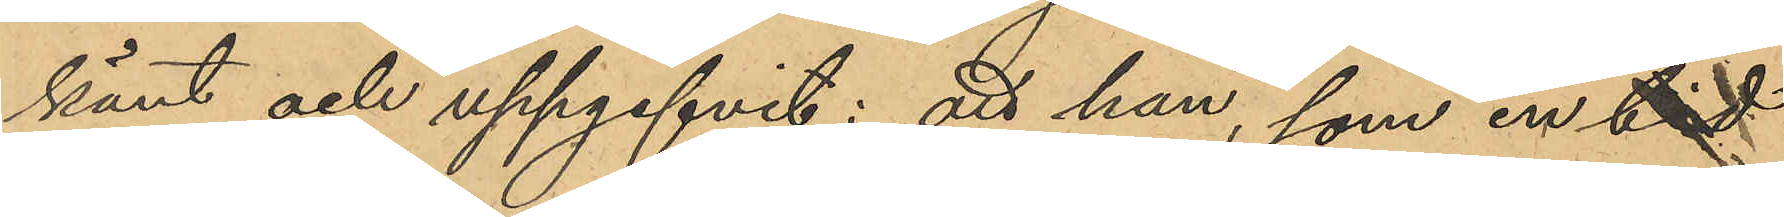känt och uppgifvit: att han, som en tid
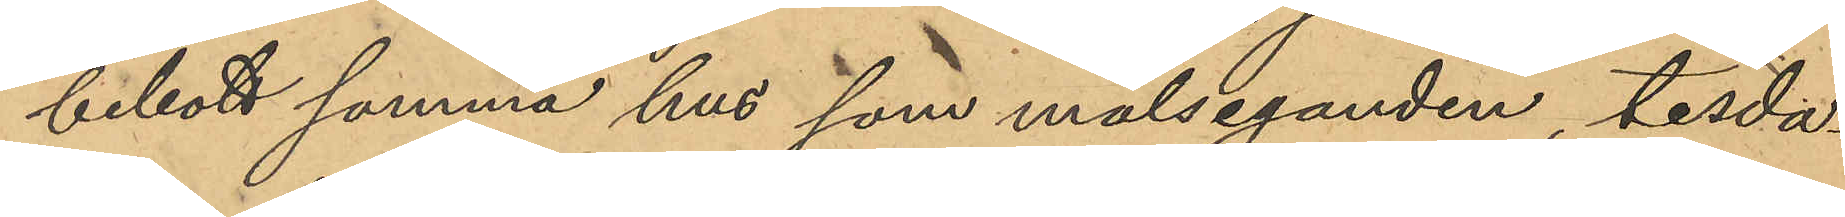bebott samma hus som måleganden, tisda¬
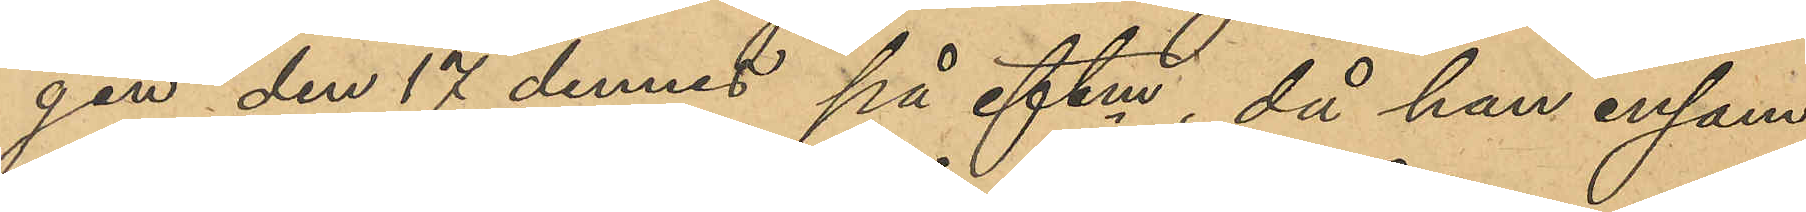gen den 17 dennes på eftm, då han ensam
